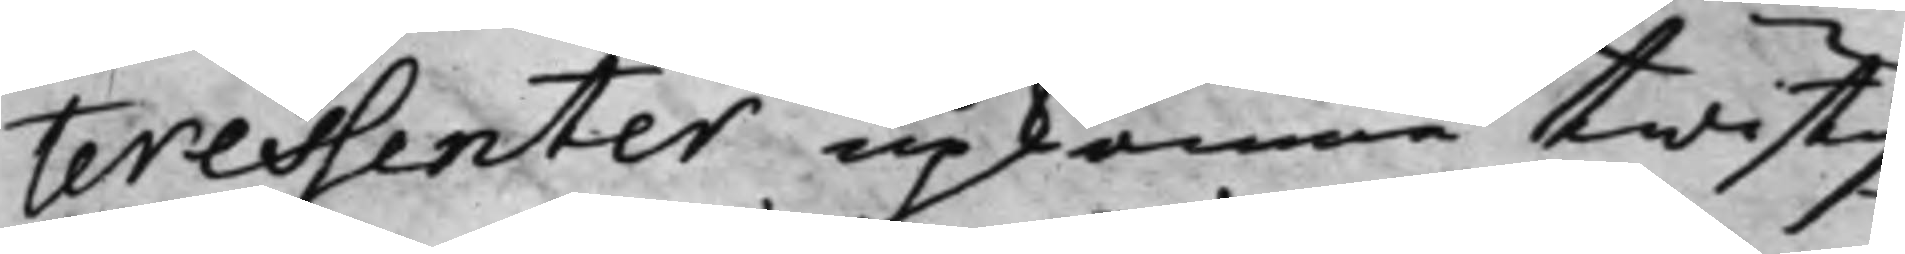teressenter upkomne twistig¬
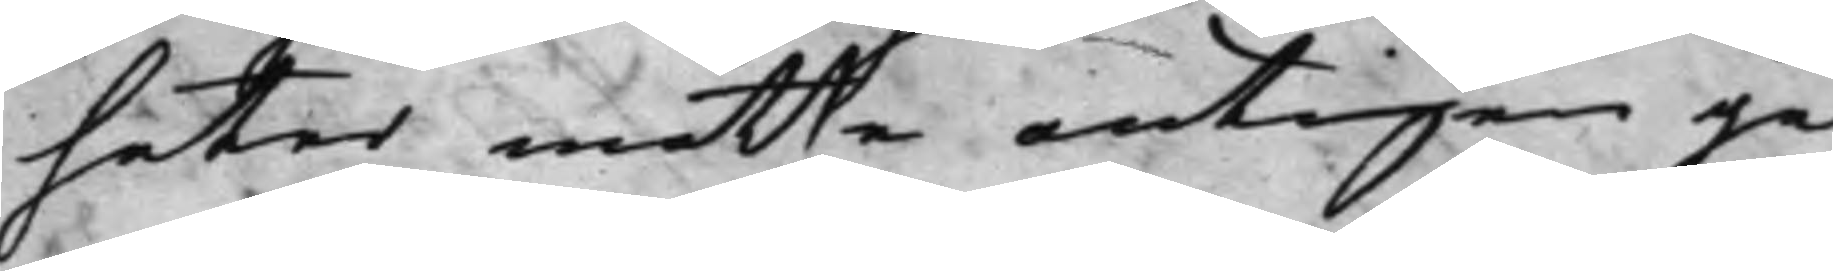heter måtte antingen ge¬
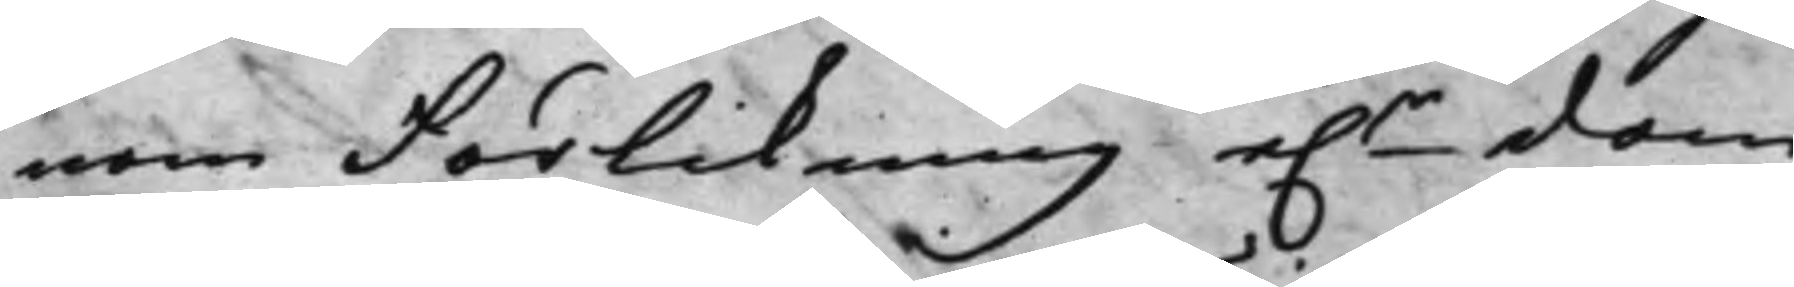nom Förlikning e.r dom 
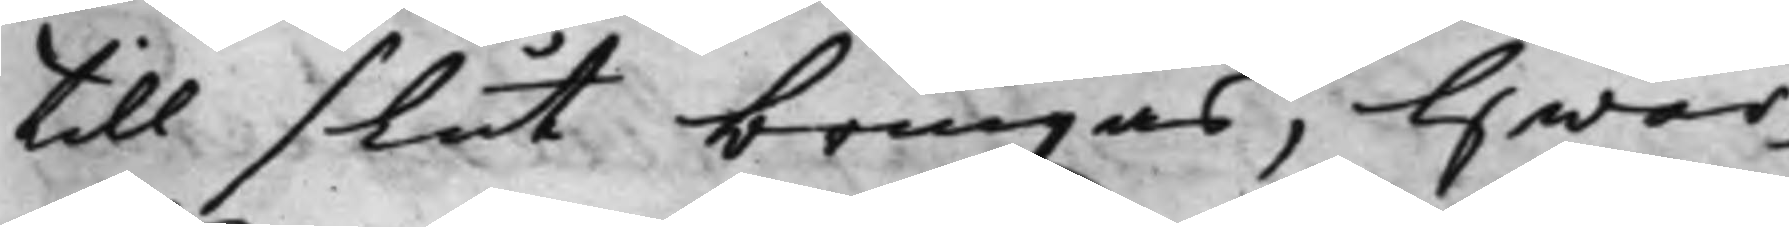till slut bringas; Hwar¬
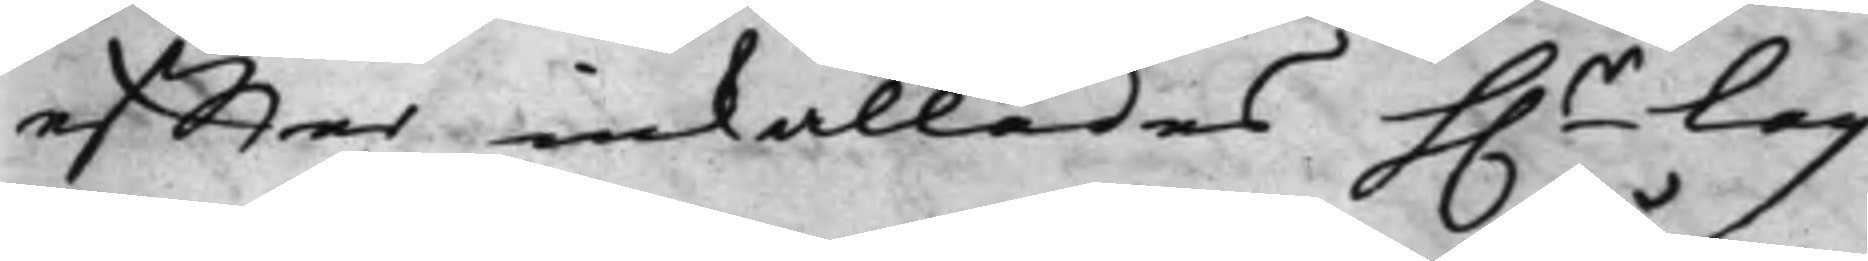effter inkallades h.r Lag¬
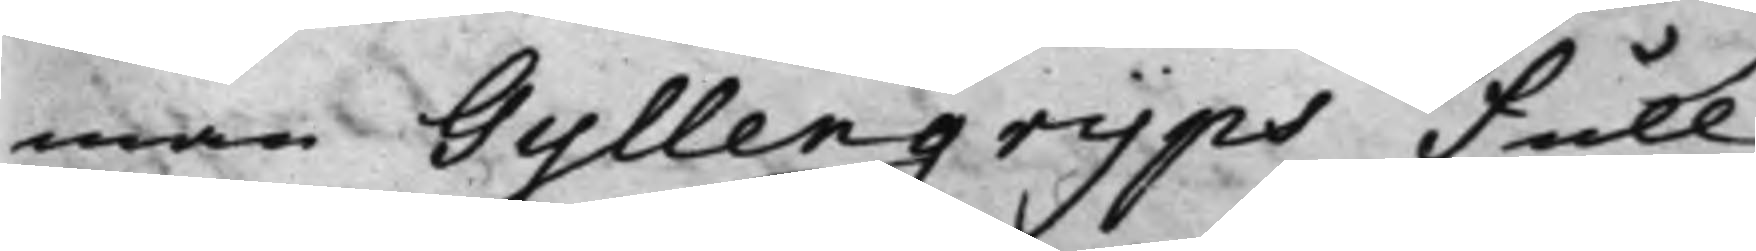man Gyllengrijps Full¬
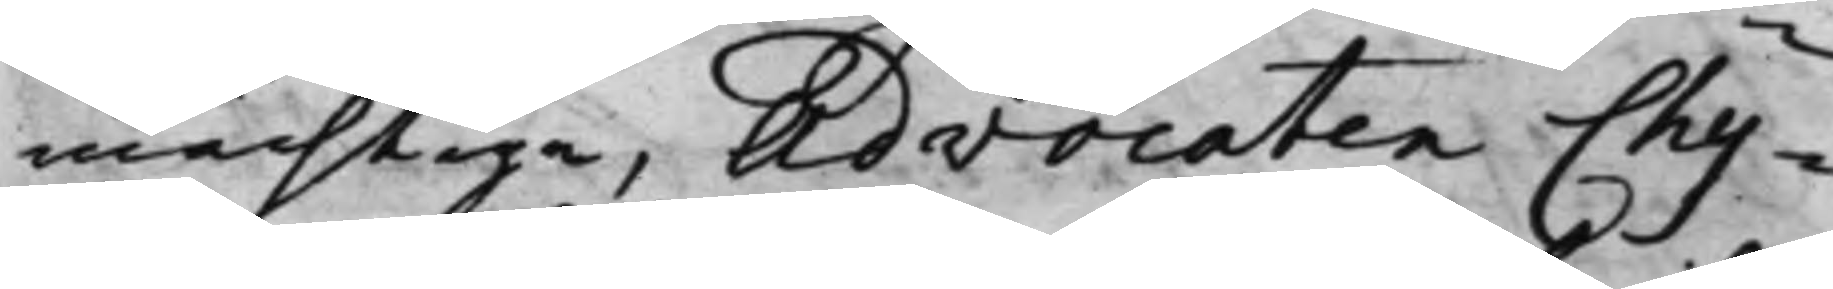mächtige, Advocaten Chy¬
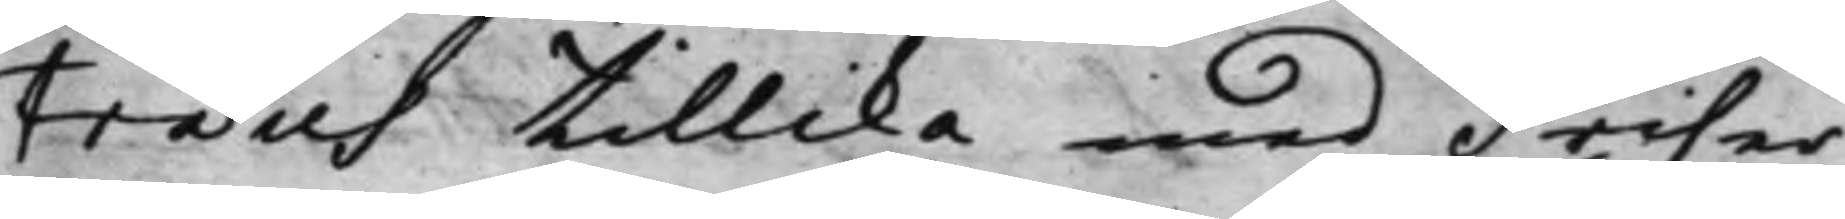træus tillika med Friher¬
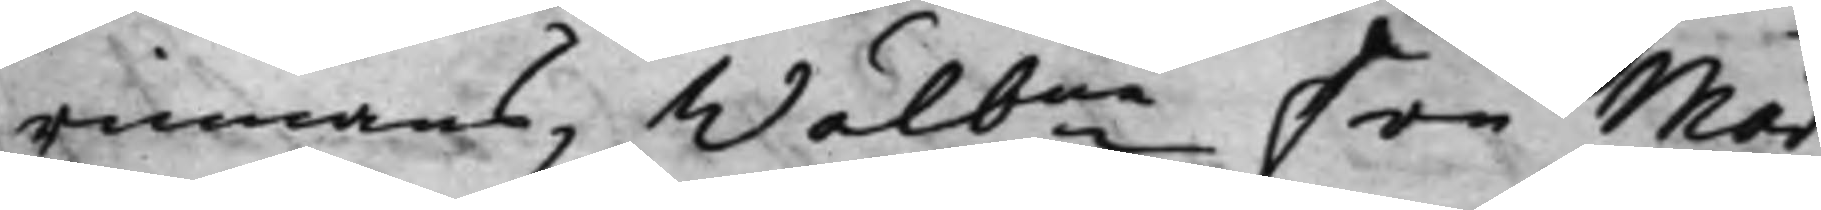rinnans, Wälbne Fru Mär¬ 
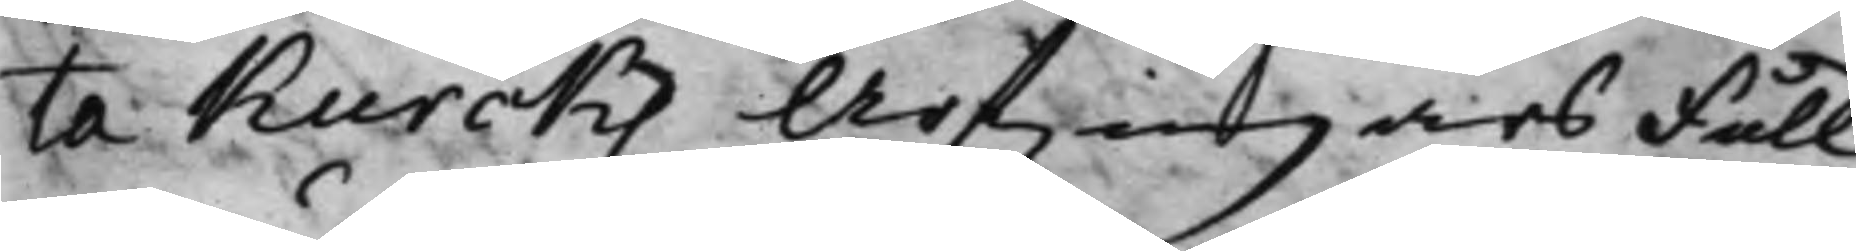ta Kurcks Arfwingars Full¬
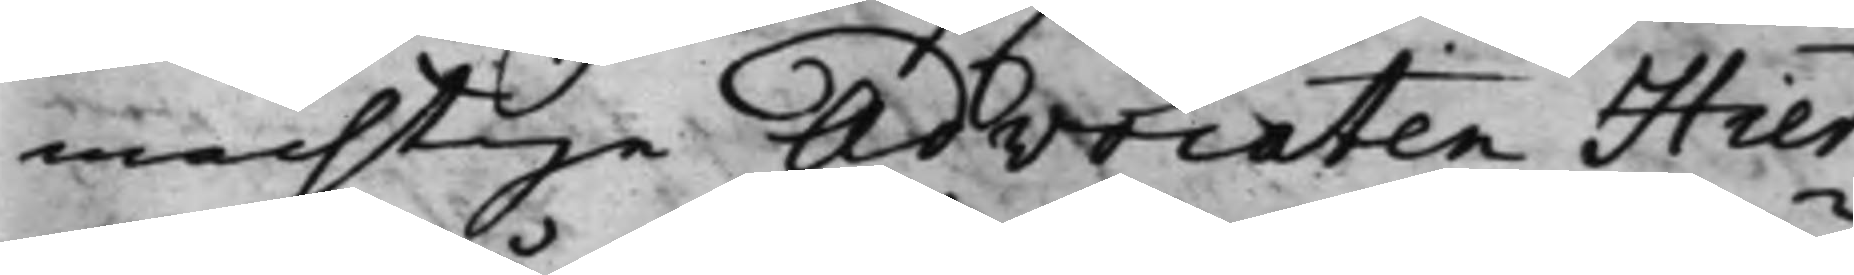mächtige Advocaten Hier¬
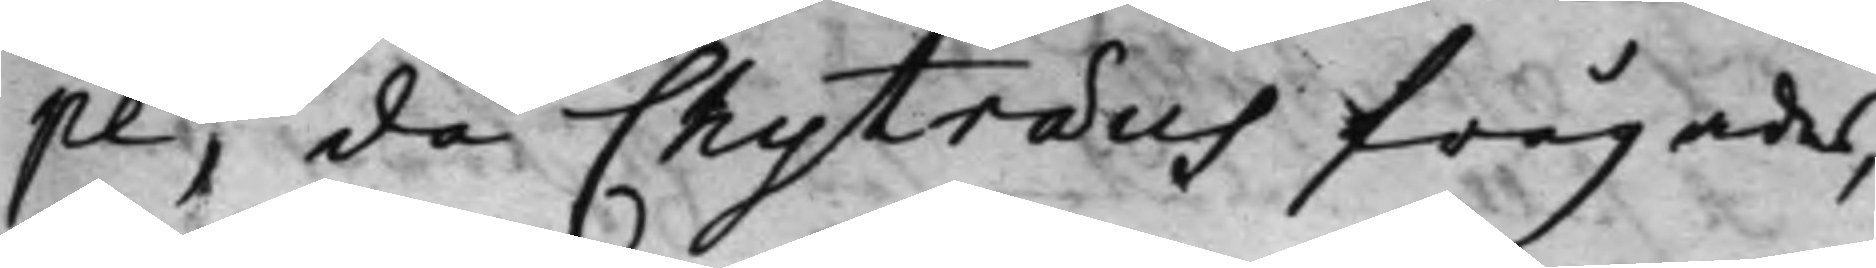pe, då Chytræus frågades,
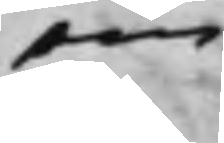om
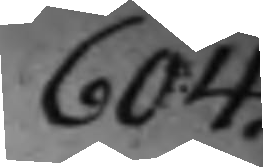604.
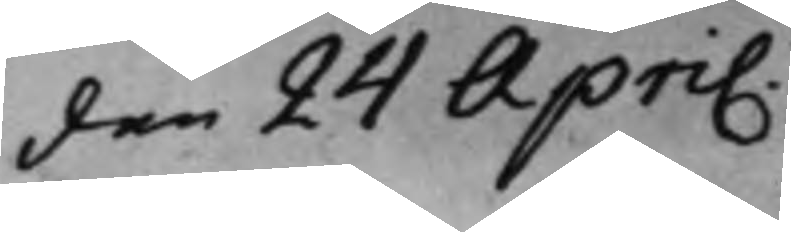den 24 April.
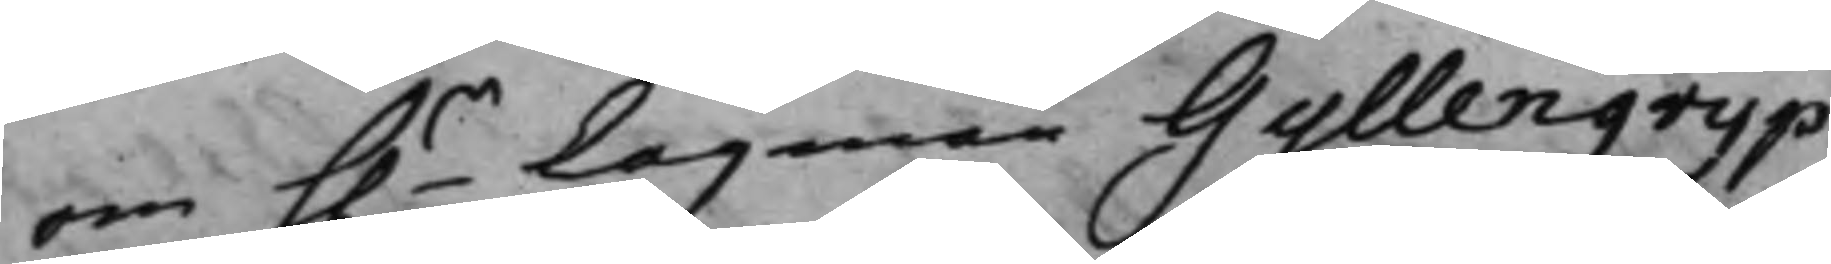om h.r Lagman Gyllengrijp
